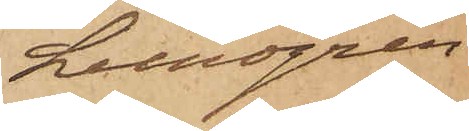Lundgren
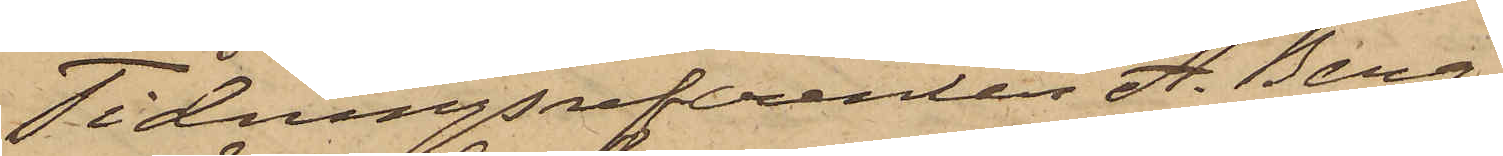Tidningsreferenten A. Berg,
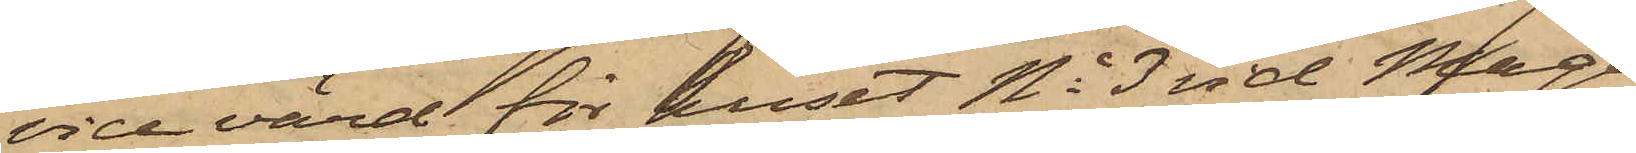vice värd för huset No 3 vid Maga¬
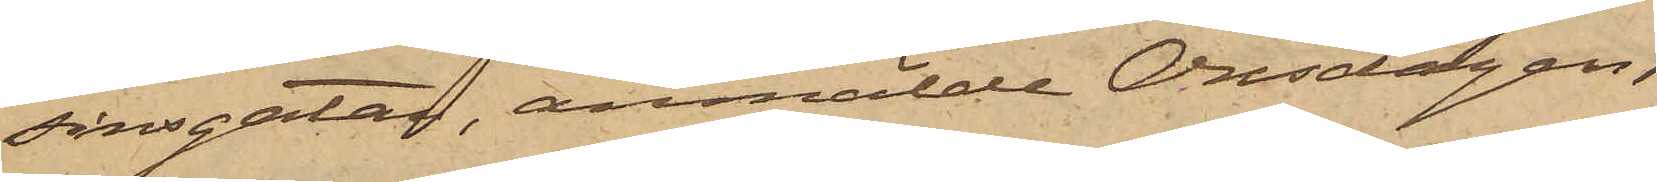sinsgatan, anmälde Onsdagen
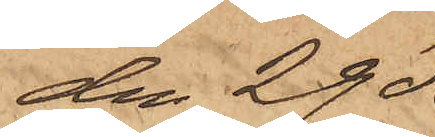den 29 på
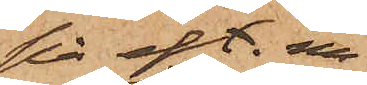på eft. m
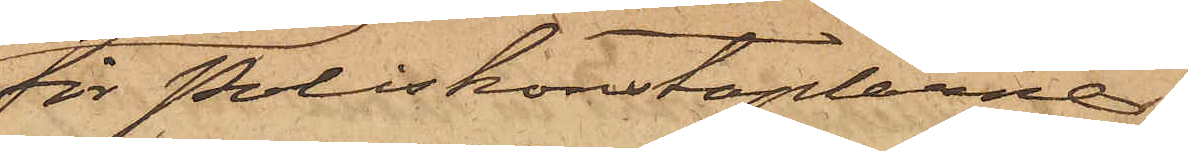för Poliskonstaplarne
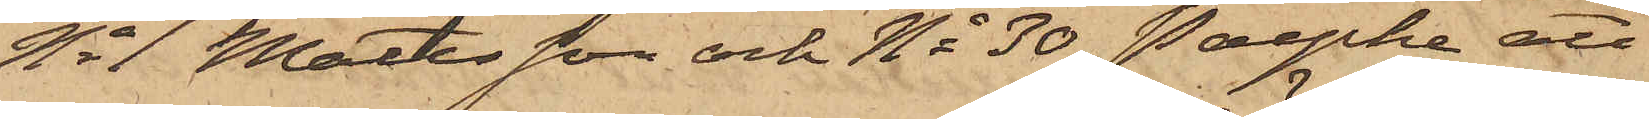No 1 Mattsson och No 30 Paepke att
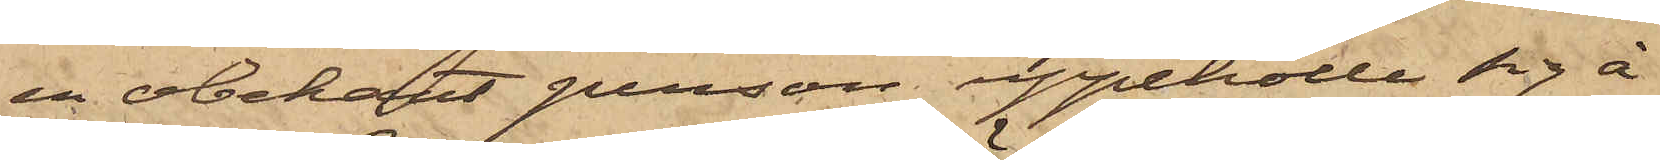en obekant person uppehölle sig å
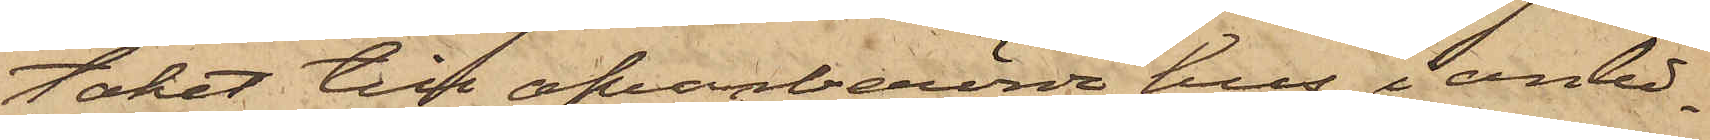taket till ofvanberörde hus i anled¬
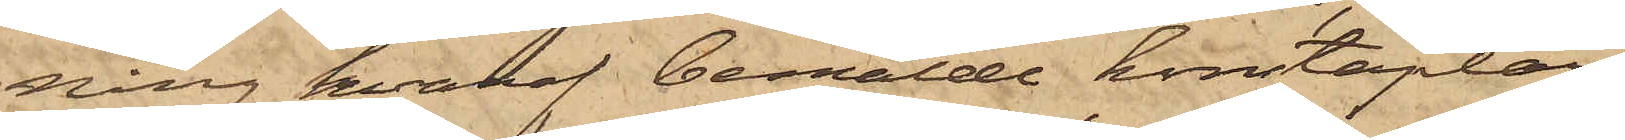ning hvaraf bemälde konstaplar
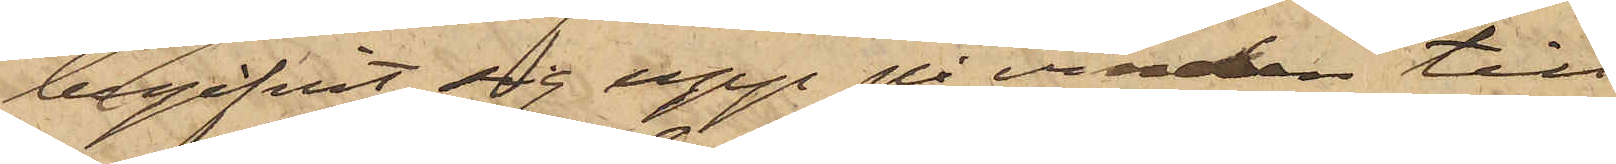begifvit sig upp på vinden till
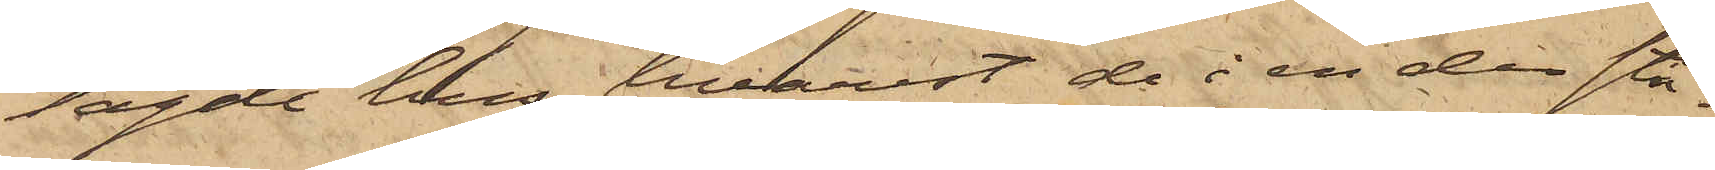sagde hus, hvarest de i en der stå¬
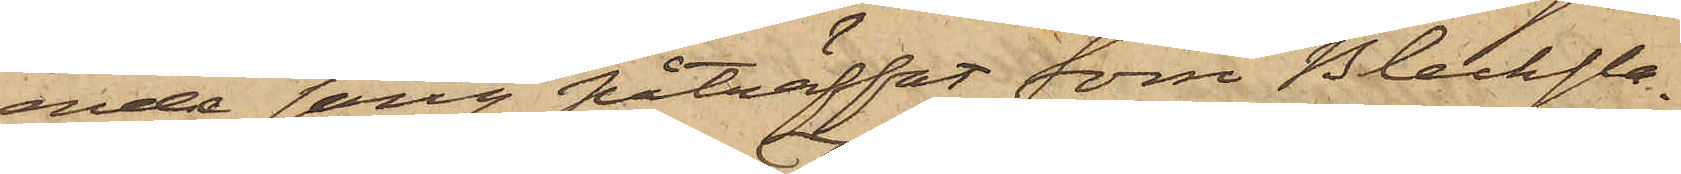ende säng påträffat förre Blecksla¬
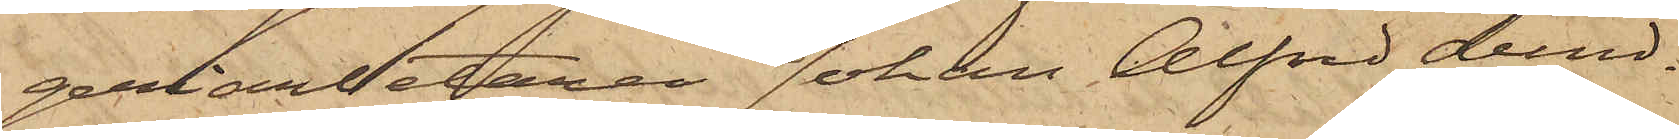geriarbetaren Johan Alfred Lund¬
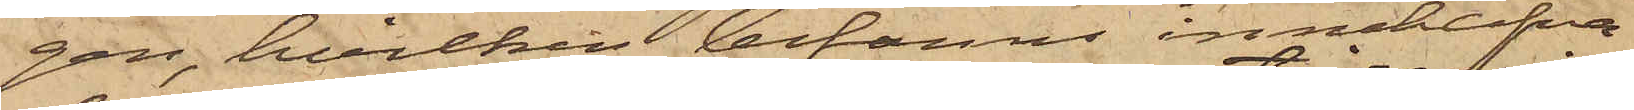gen, hvilken befanns innehafva
